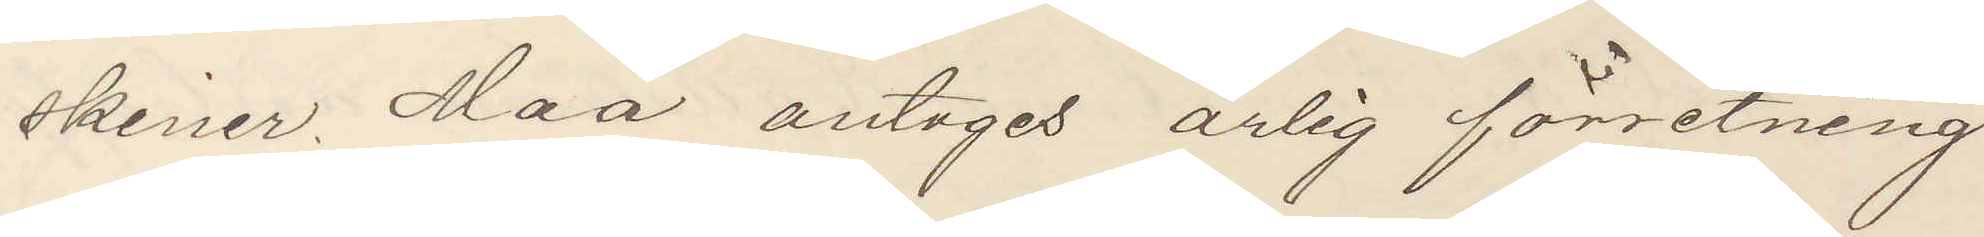skiner. Maa antages ärlig förretning
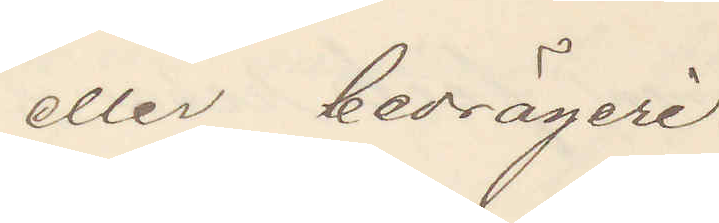eller bedrägeri.
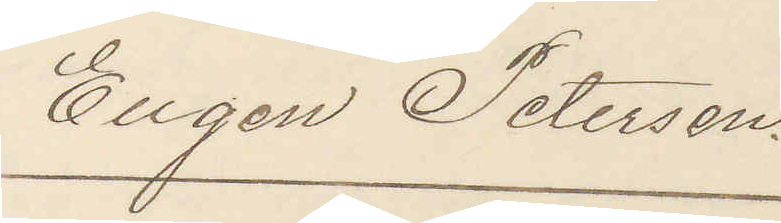Eugen Petersson.
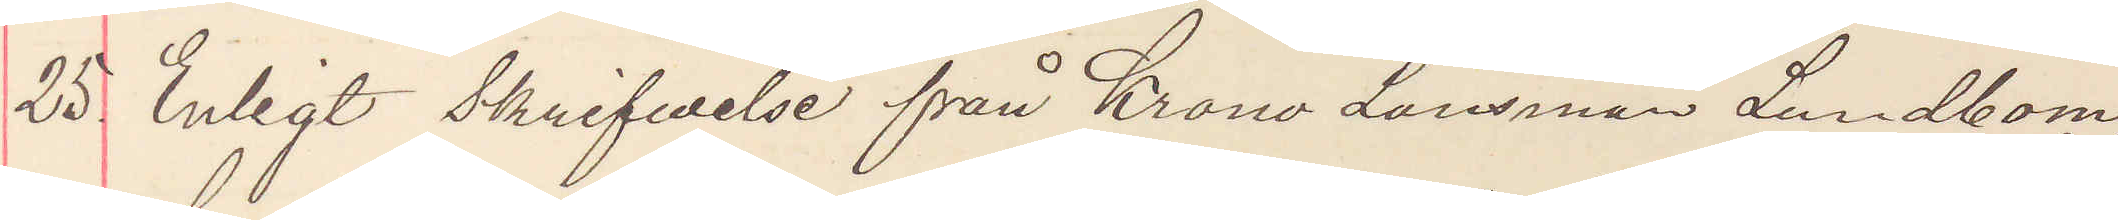25 Enligt Skrifvelse från Krono Länsman Lundbom.
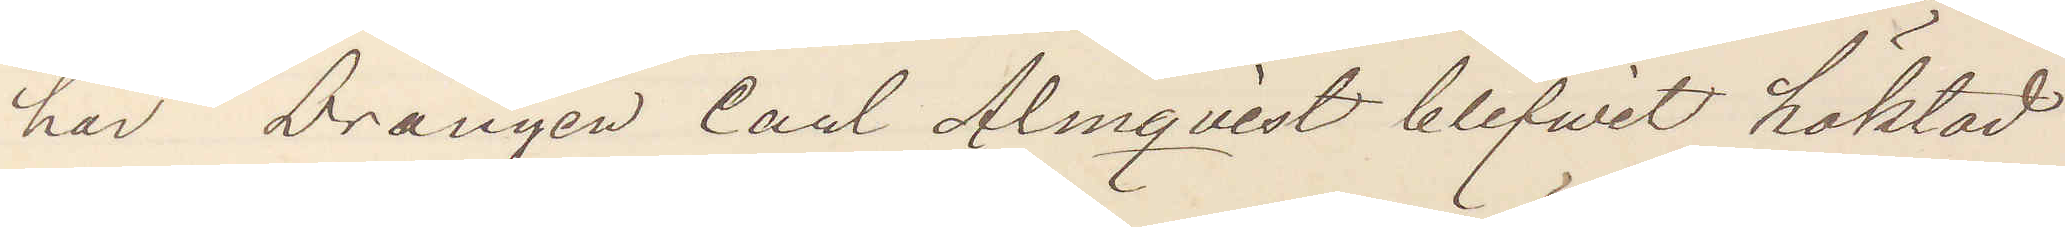har Drängen Carl Almqvist blifvit häktad
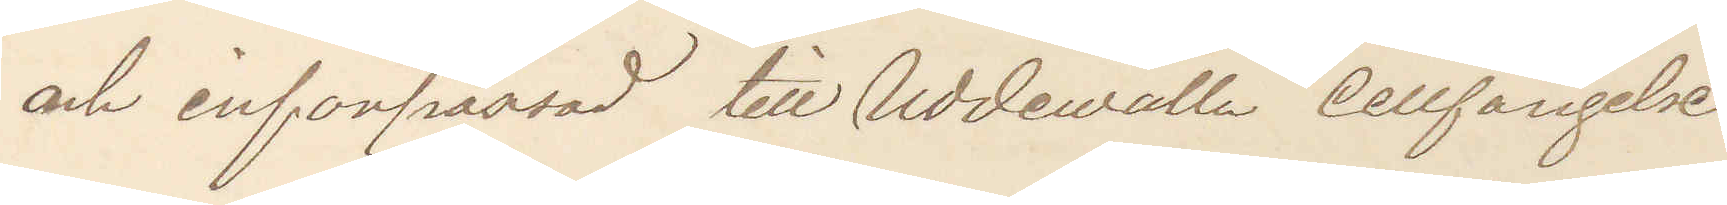och införpassad till Uddewalla Cellfängelse.
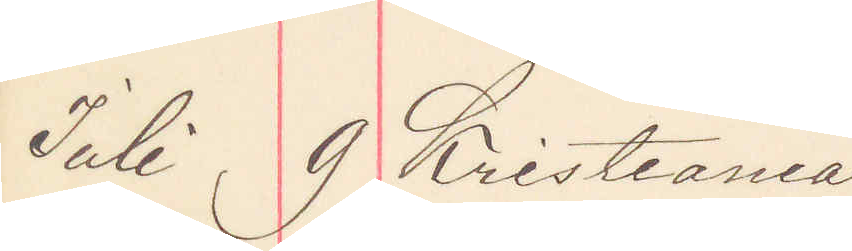Juli 9 Kristiania.
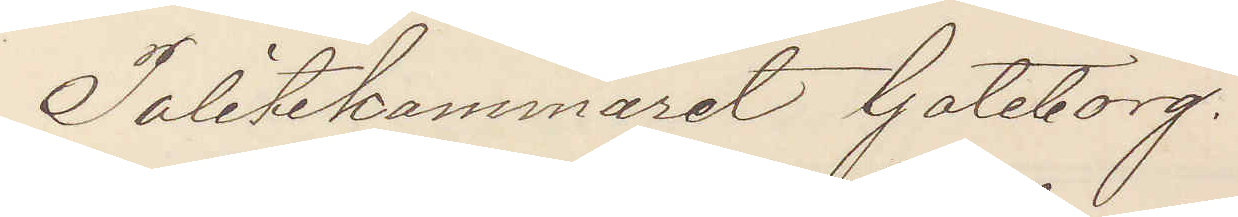Politikammeret Göteborg.
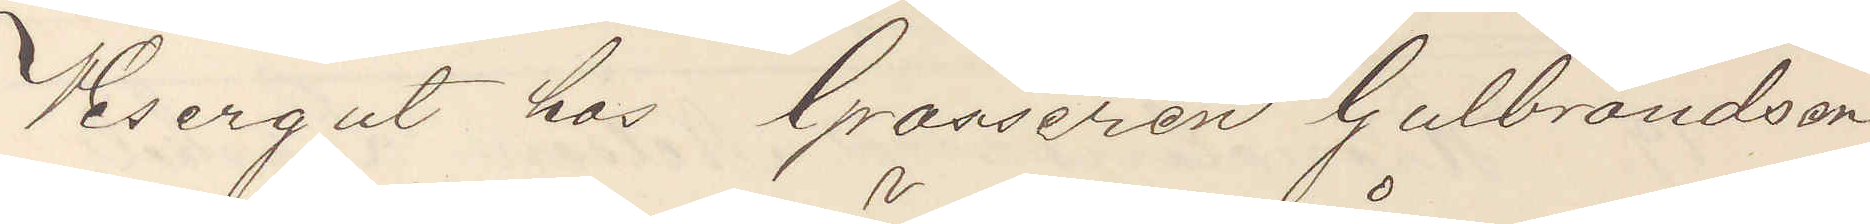Visergut hos Grosseren Guldbrandsen
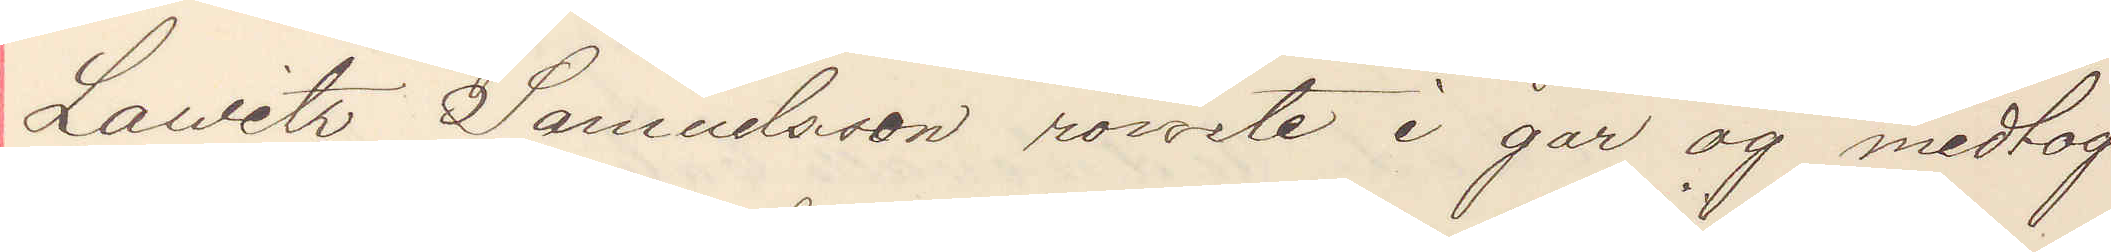Lauritz Samuelsson römte i går og medtog
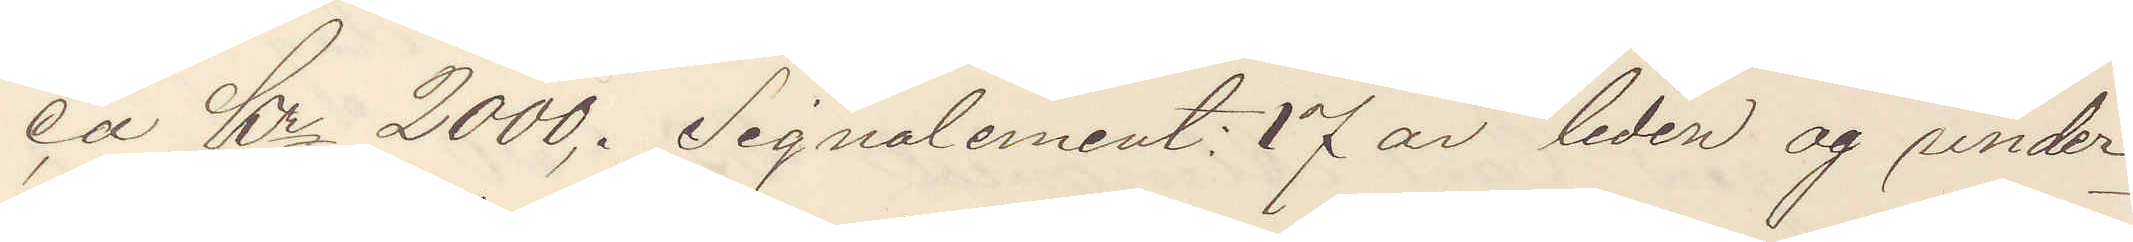ca Kr 2000. Signalement: 17 år liden og under¬
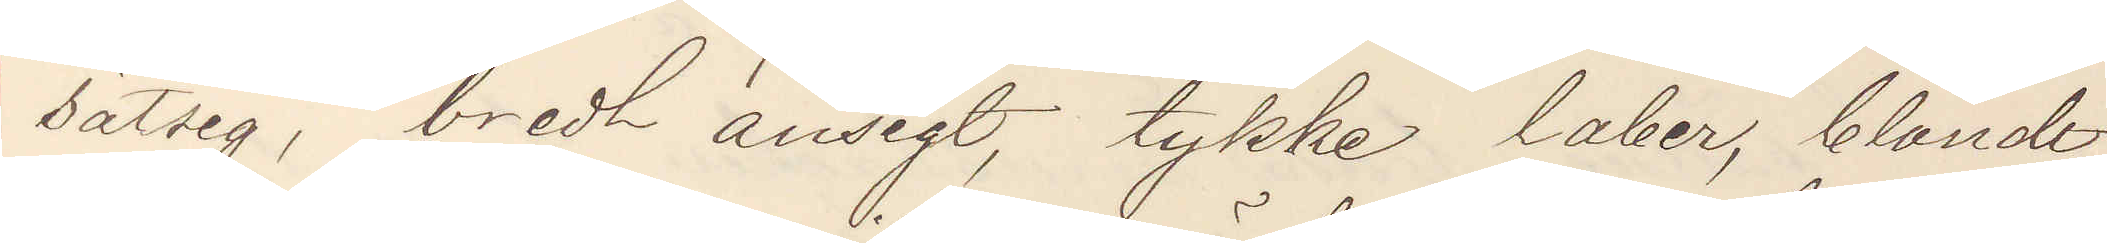sätsig, bredt ansigt, tykke laber, blåndt
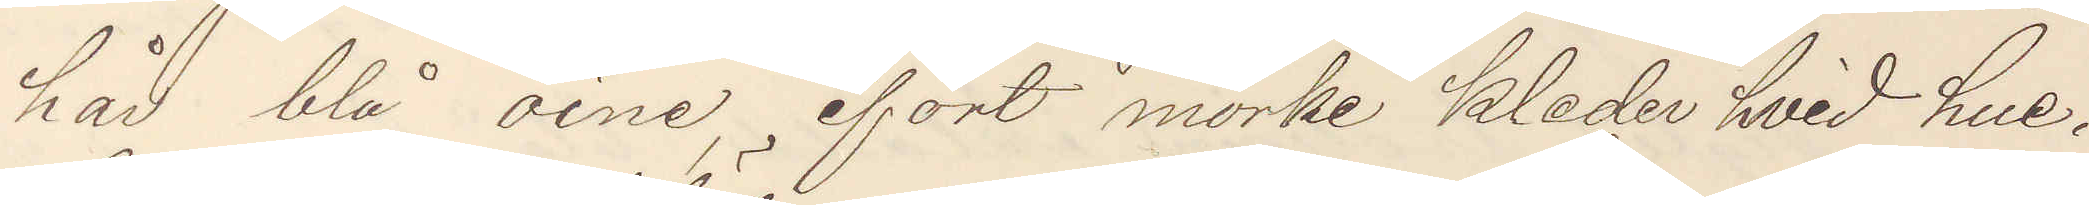hår blå oine, ifört mörke kleder hvid hue.
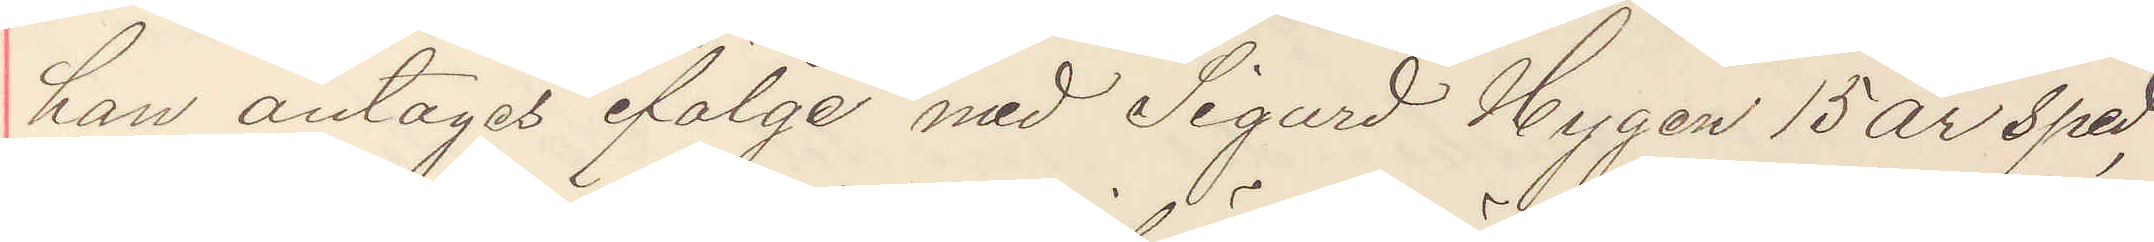han antages ifölje med Sigurd Hygen 15 år sped
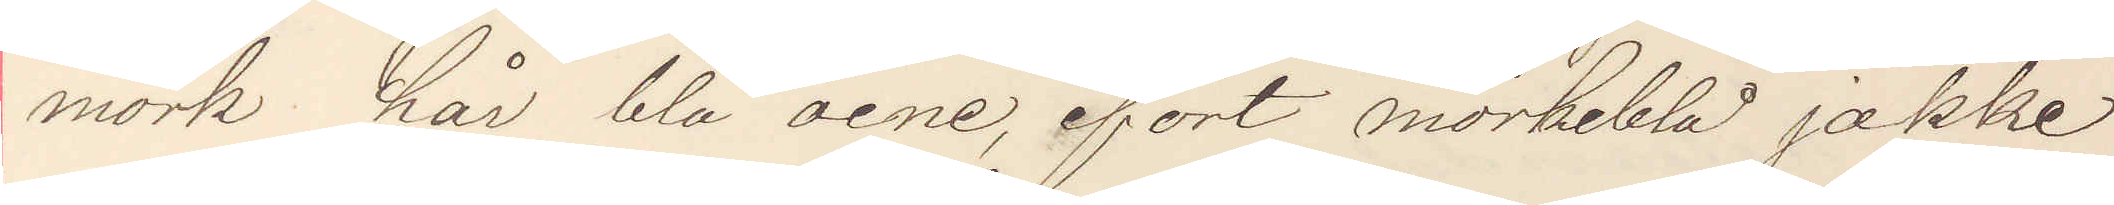mörk hår blå öine, ifört mörkeblå jakke
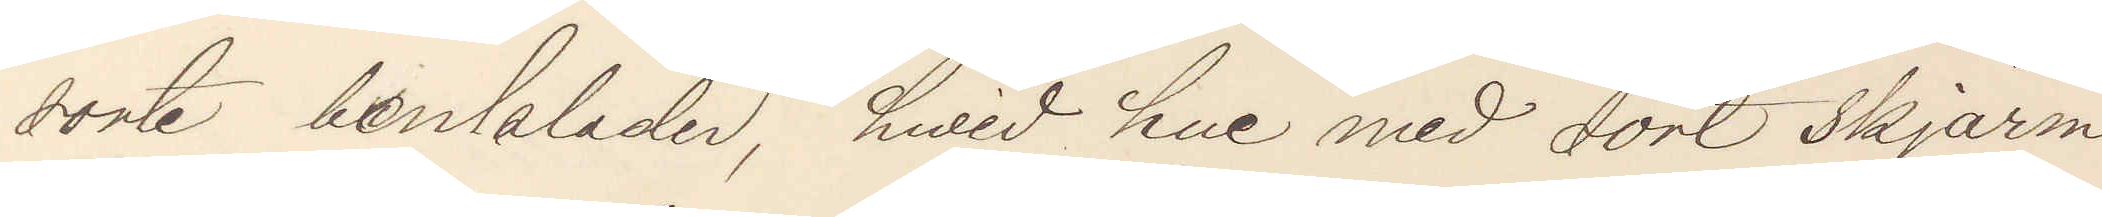sorte benklader, hvid hue med sort skjärm
